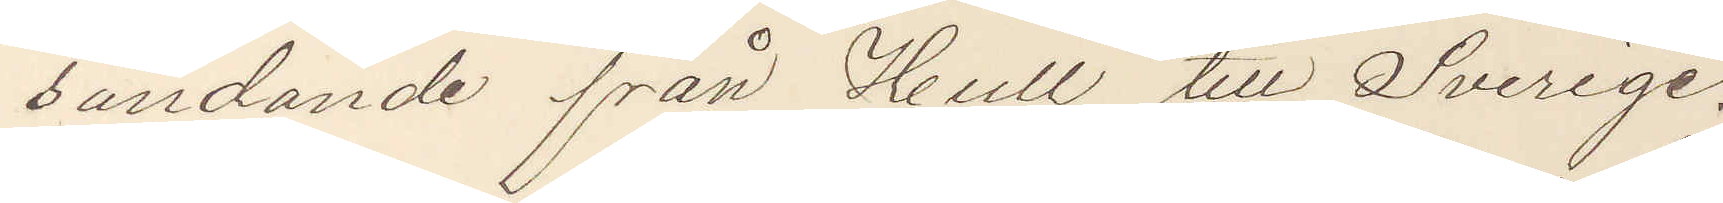sändande från Hull till Sverige.
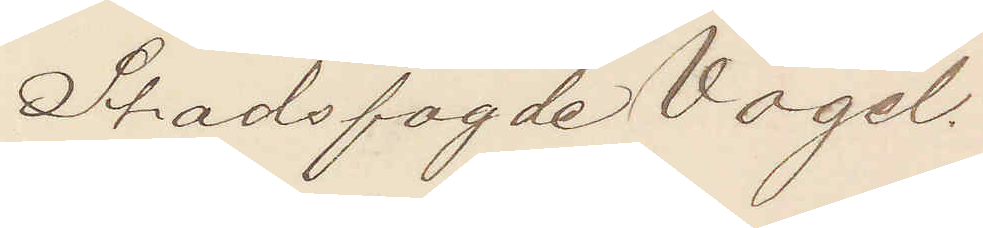Stadsfogde Vogel.
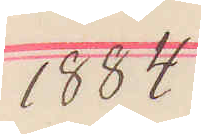1884 
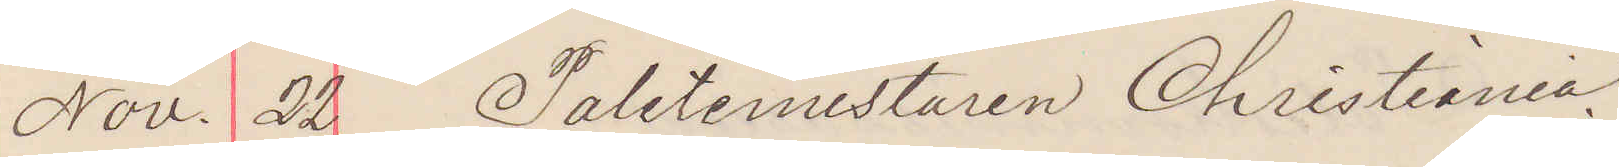Nov. 22. Politimesteren Christiania.
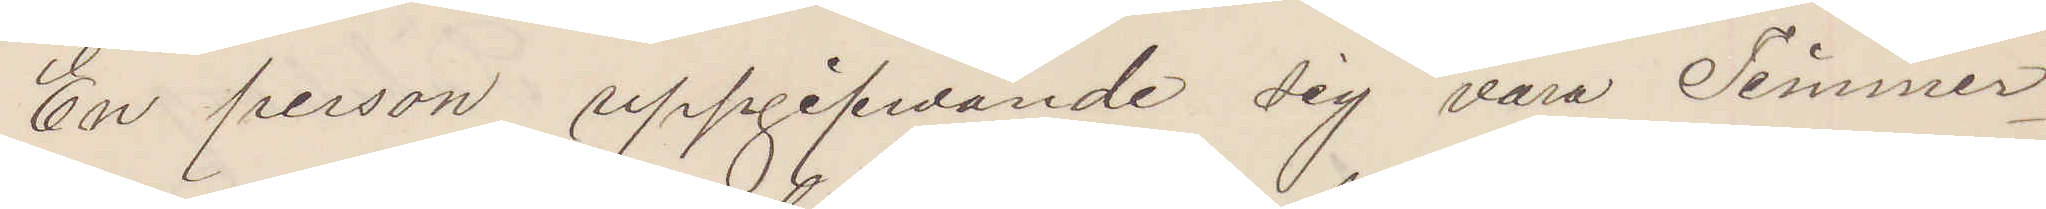En person uppgifvande sig vara Timmer¬
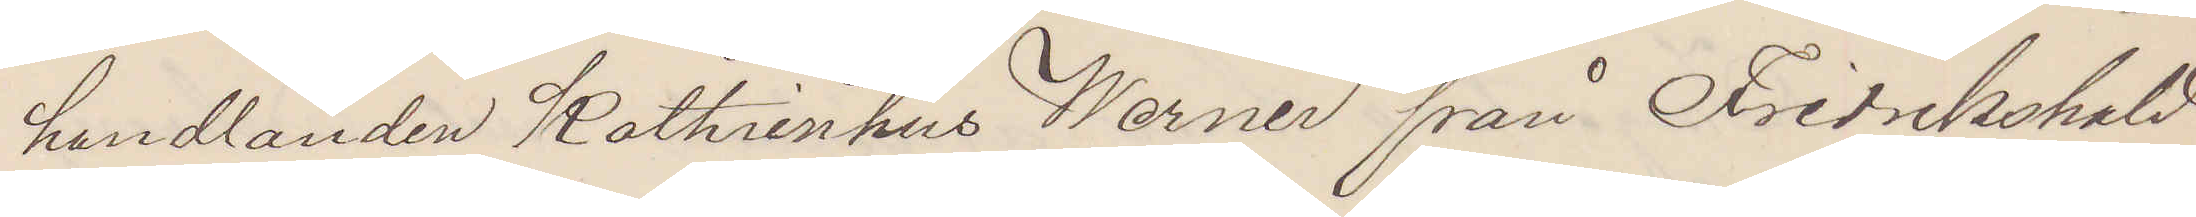handlanden Kathrinhus Werner från Fredrikshald
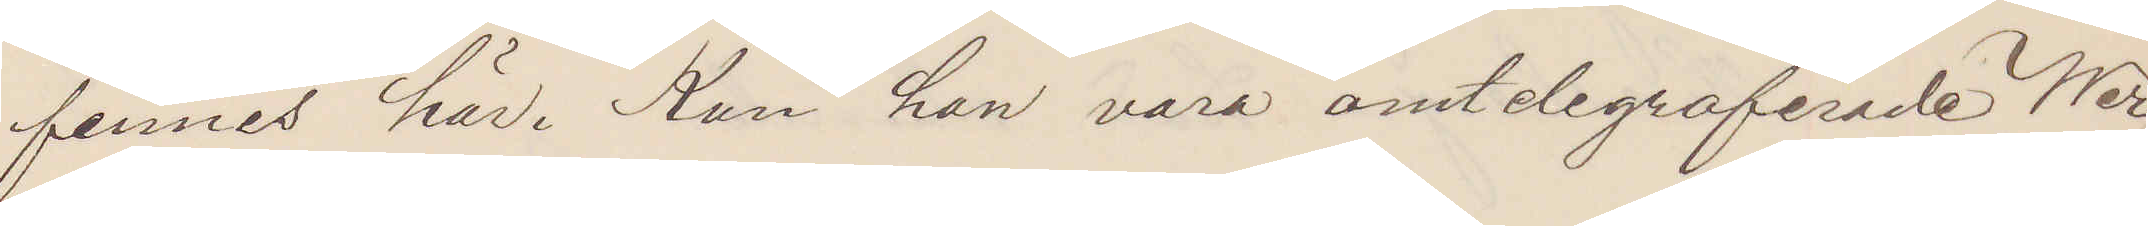finnes här. Kan han vara omtelegraferade Wer¬
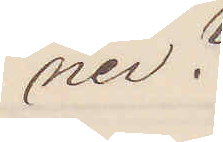ner?
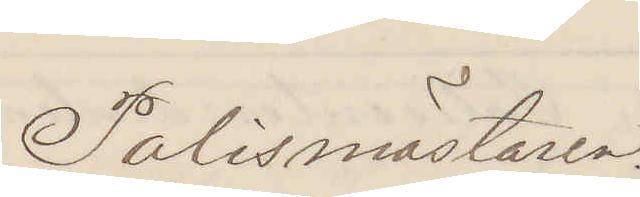Polismästaren.
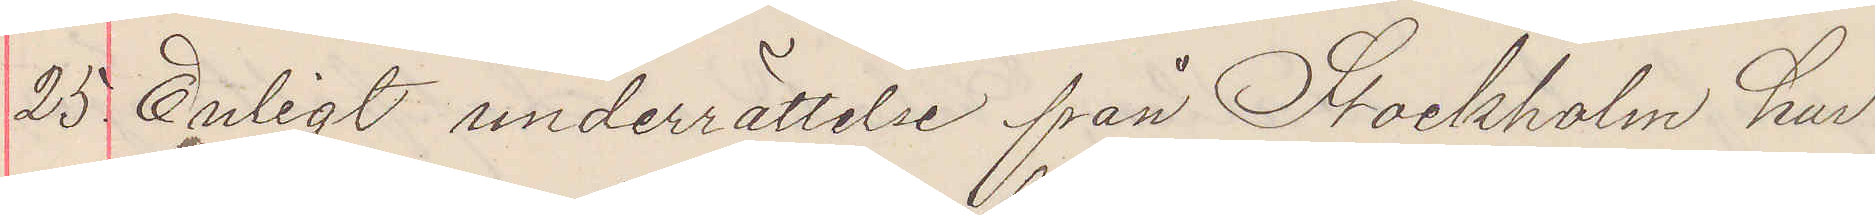25. Enligt underrättelse från Stockholm har
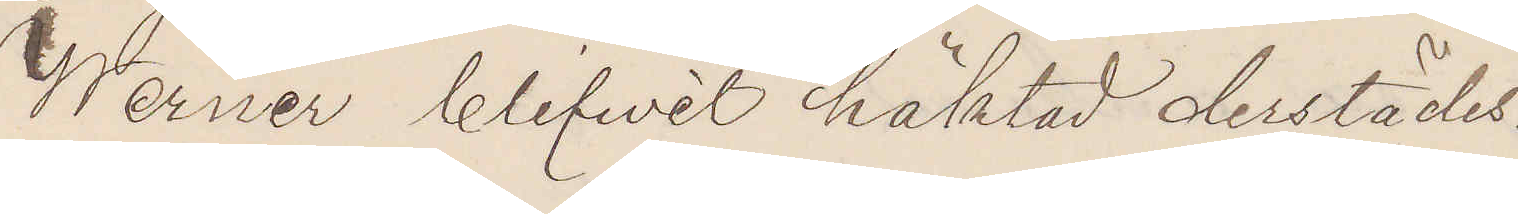Werner blifvit häktad derstädes
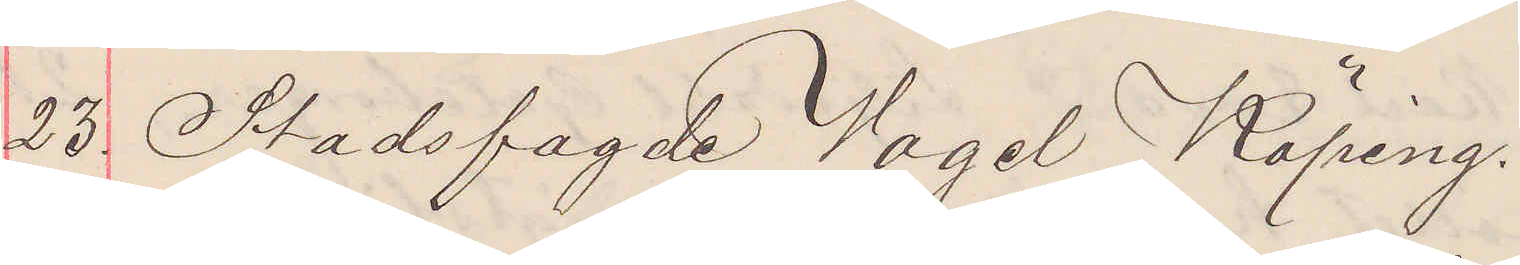23. Stadsfogde Vogel Köping.
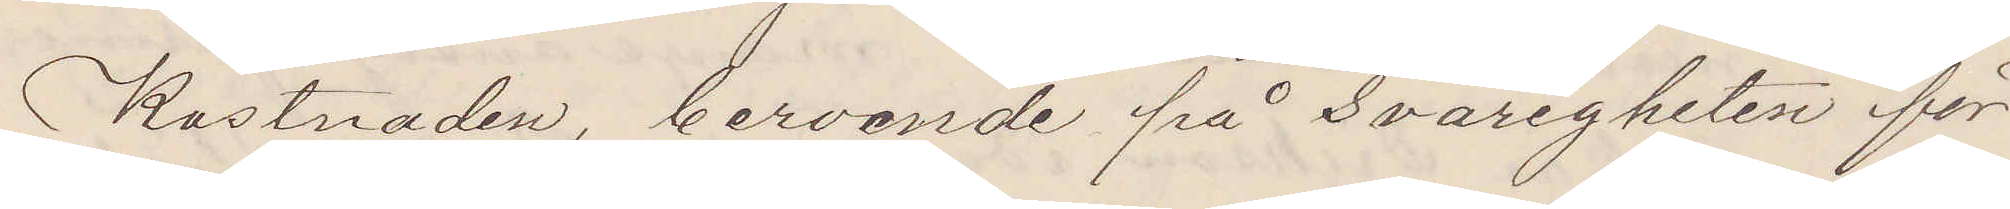Kostnaden, beroende på svårigheten för
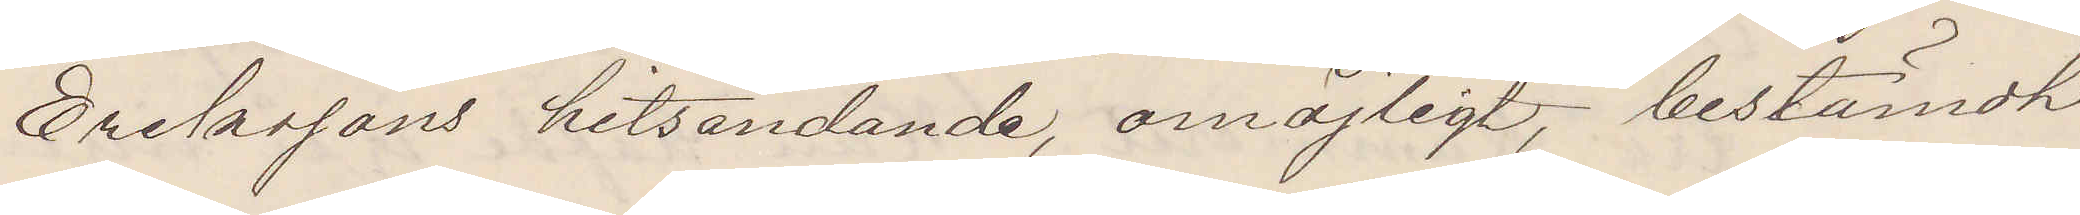Erikssons hitsändande, omöjligt, bestämdt
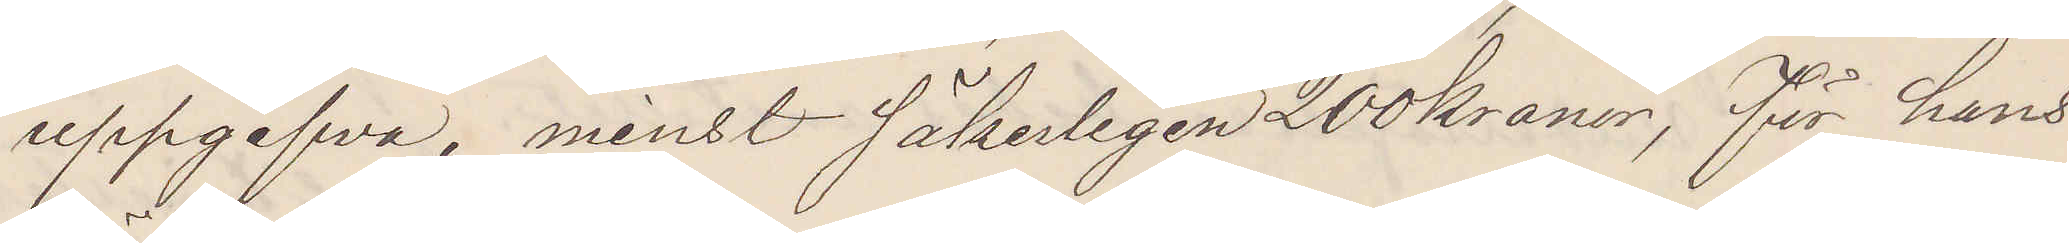uppgifva, minst säkerligen 200 kronor, för hans
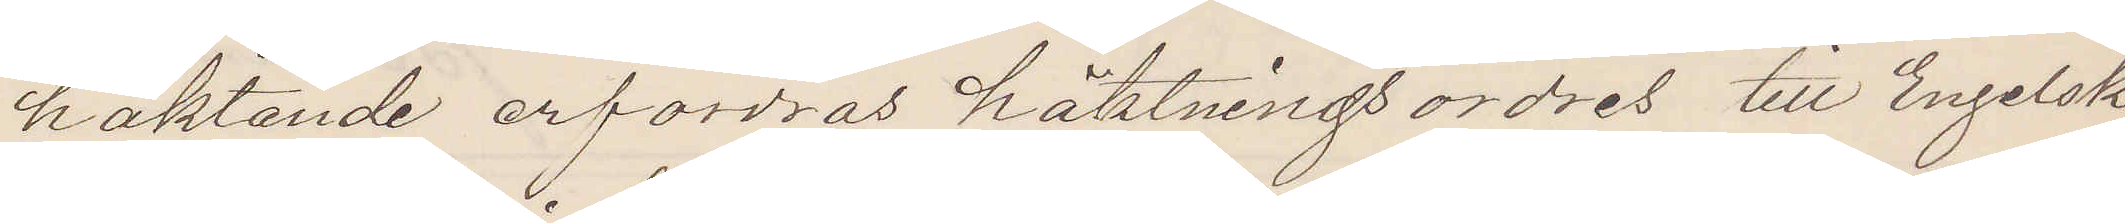häktande erfordras häktningsordres till Engelsk
